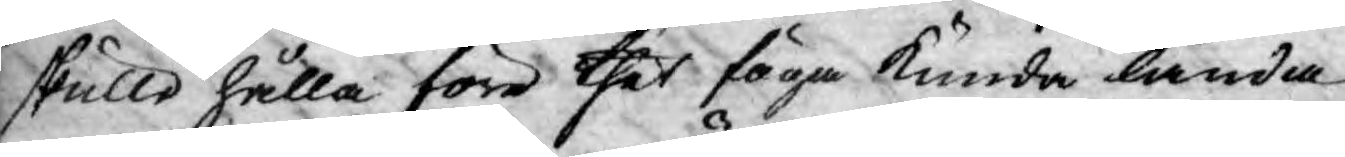skulle hålla före thet föga kunde lända
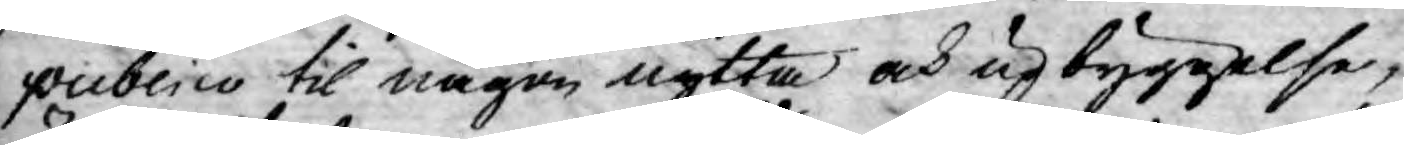publico til någon nytta och upbyggelse,
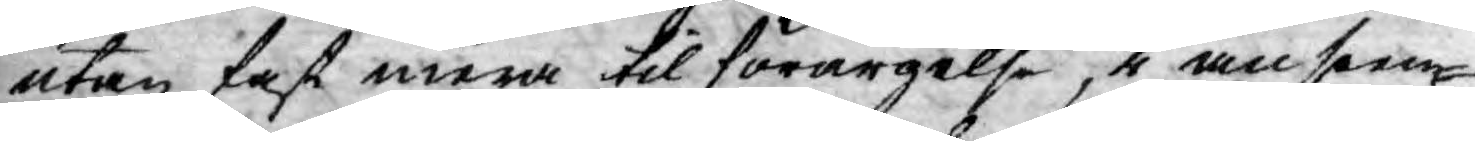utan fast mera til förargelse, i anseen¬
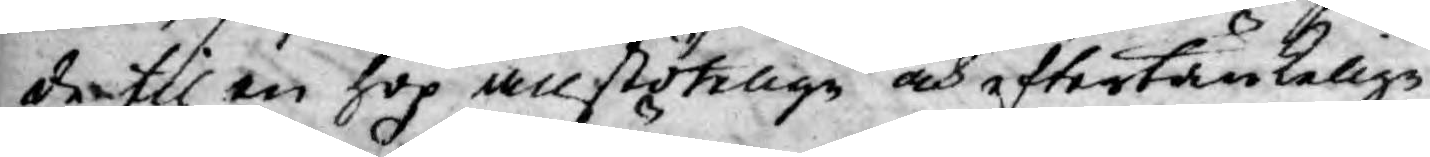de til en hop anstötelige och eftertänkelige
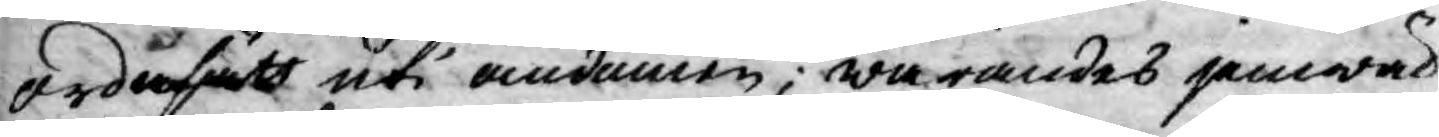ordasätt uti omdömen; warandes jemwäl
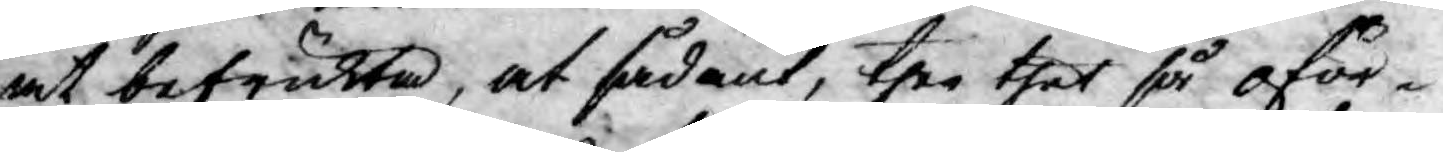at befrukta, at sådant, ther thet så oför¬
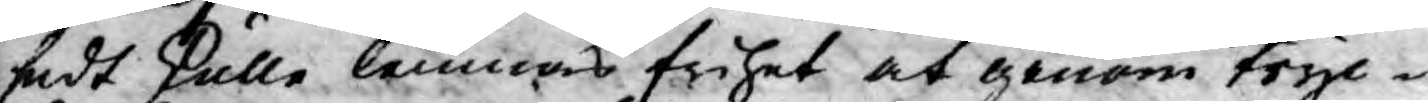sedt skulle lemnas frihet at genom tryc¬
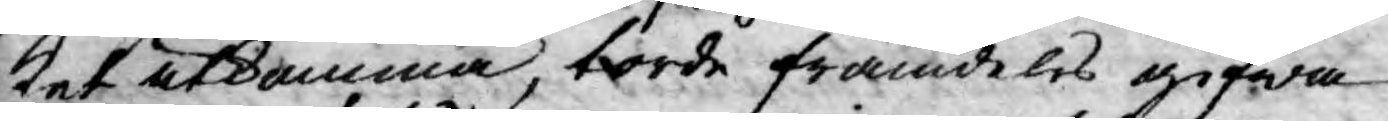ket utkomma, torde framdeles gifwa
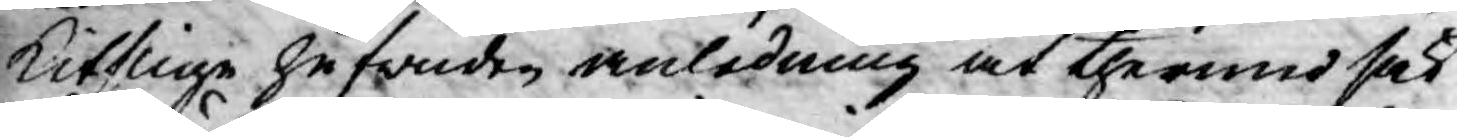kitslige hufwuden anledning at thermed sak¬
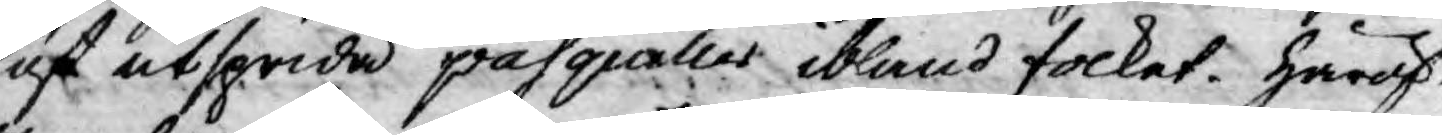löst utsprida pasquiler ibland folket. Häröf¬
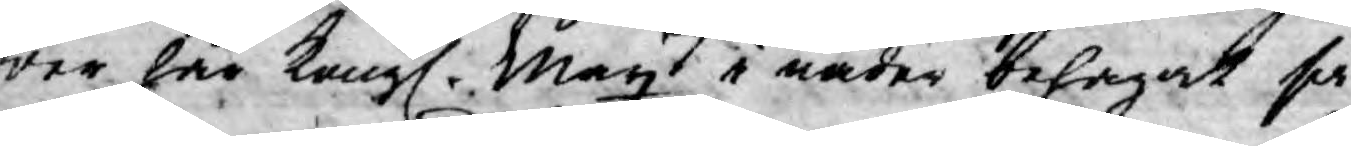wer har Kongl. Mayt i nåder behagat så
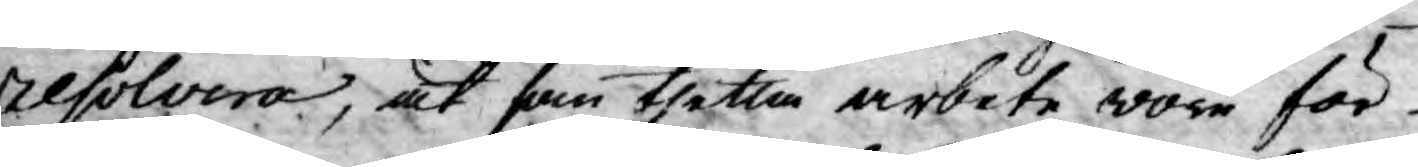resolvera, at som thetta arbete wore för
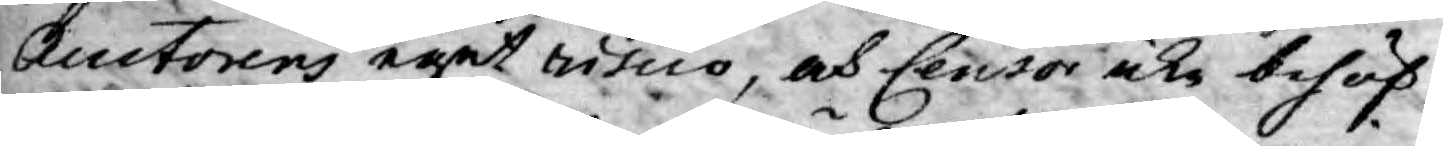Auctorens eget riscio, och Censor icke behöf¬
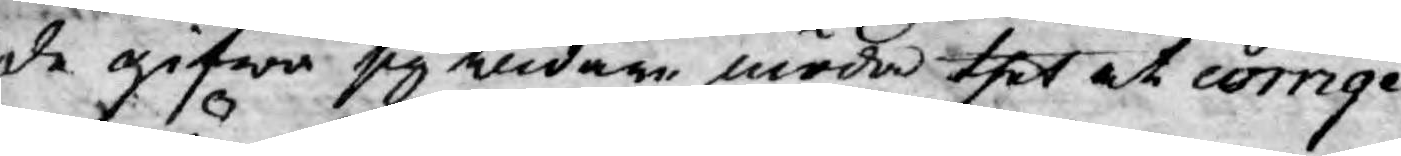de gifwa sig widare möda thet at corrige¬
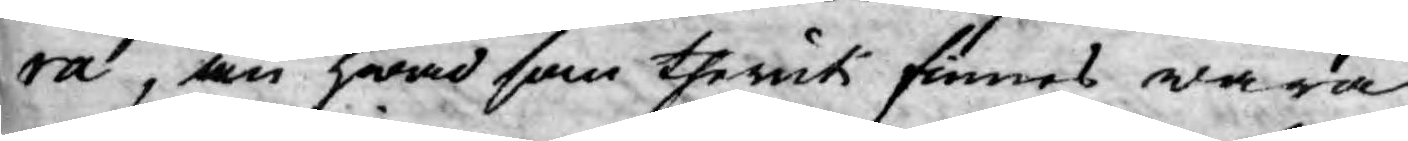ra, än hwad som theruti finnes wara
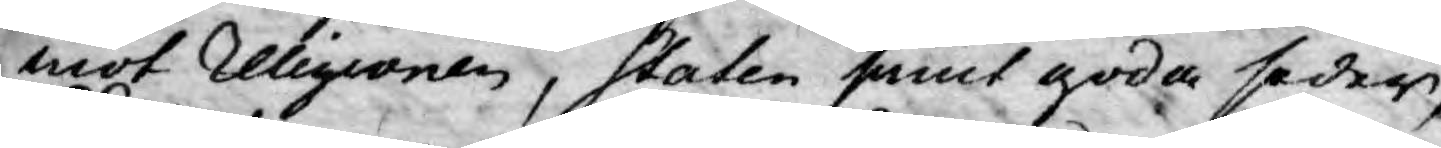mot Religionen, Staten samt goda seder,
